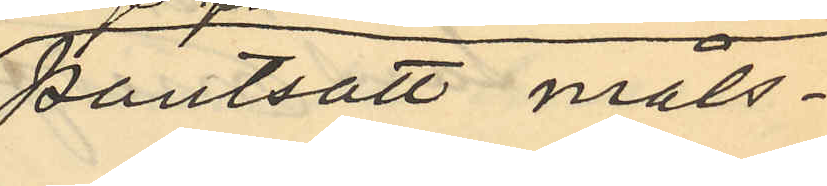pantsatt måls¬
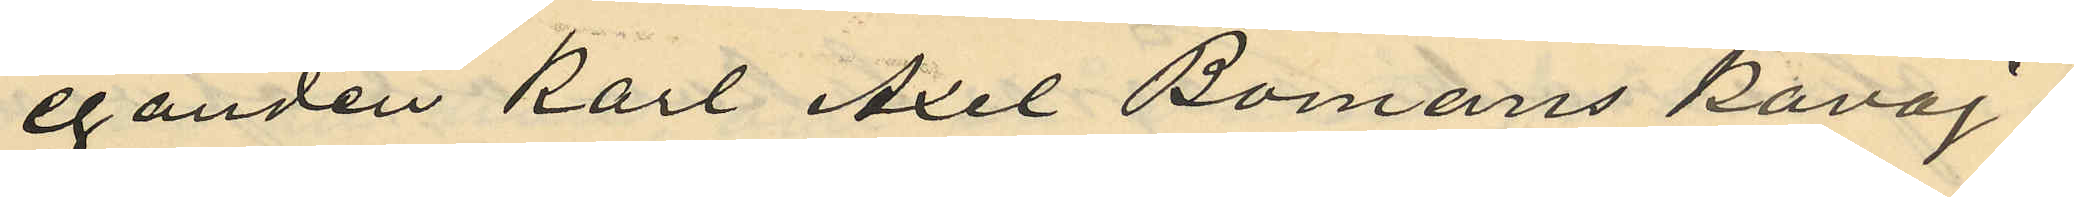eganden Karl Axel Bomans kavaj;
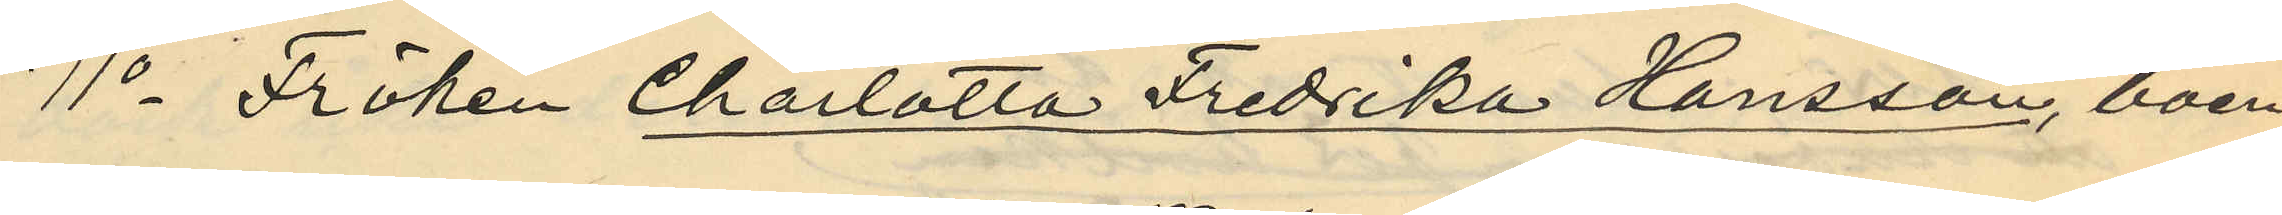11o Fröken Charlotta Fredrika Hansson, boen¬
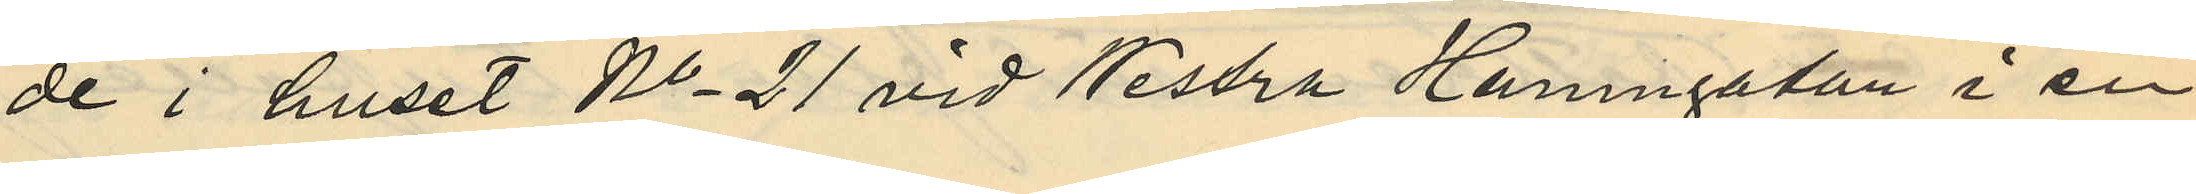de i huset No 21 vid Westra Hamngatan i en
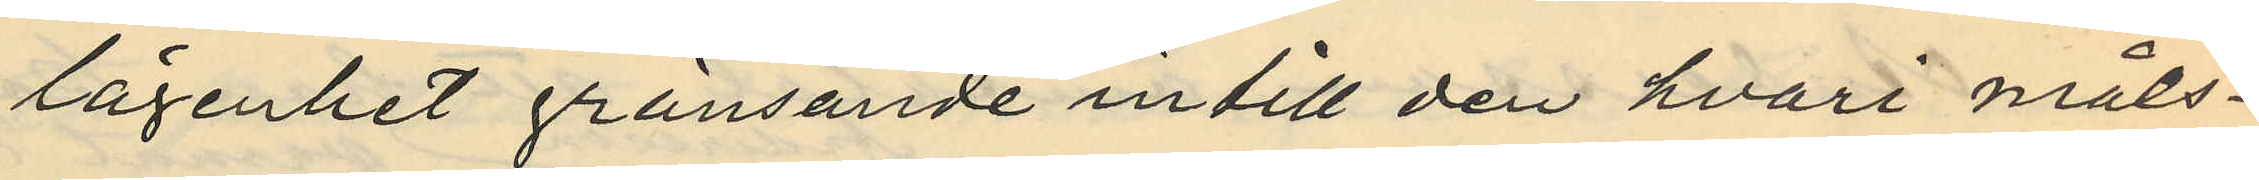lägenhet gränsande intill den hvari måls¬
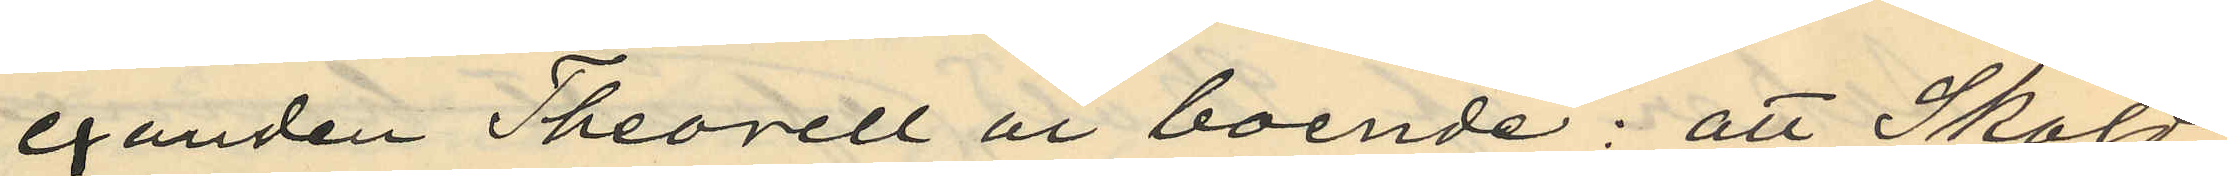eganden Theorell är boende: att Sköld
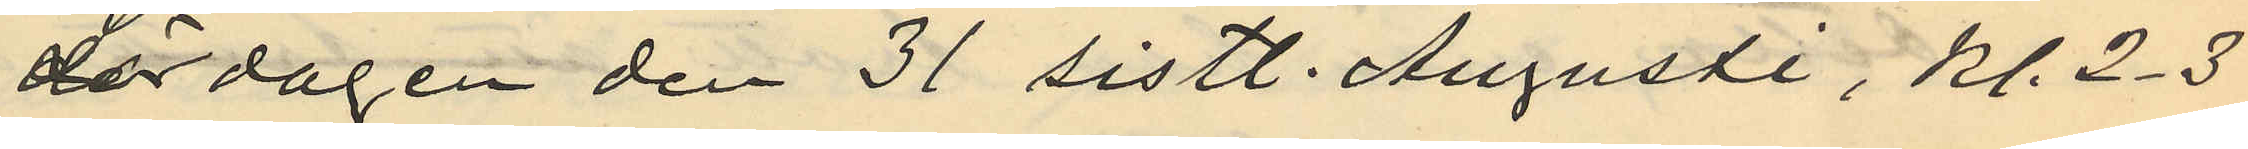Lördagen den 31 sistl. Augusti, kl. 2-3
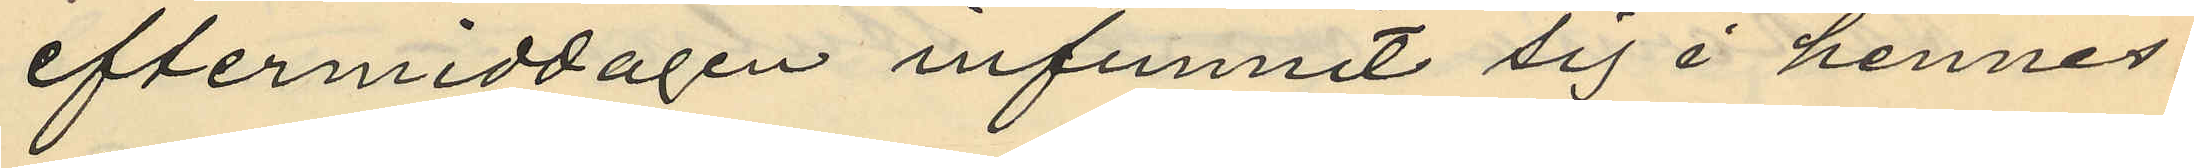eftermiddagen infunnit sig i hennes
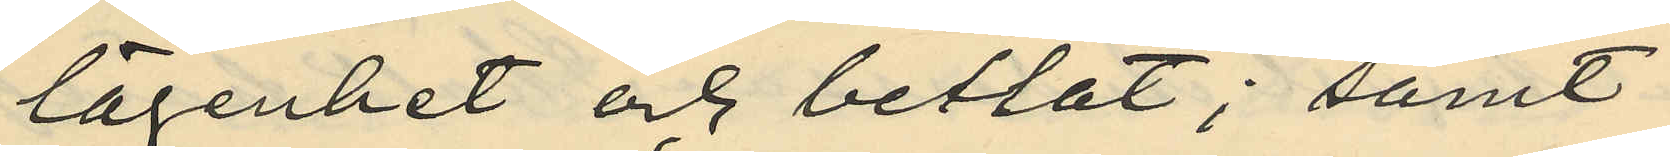lägenhet och betlat; samt
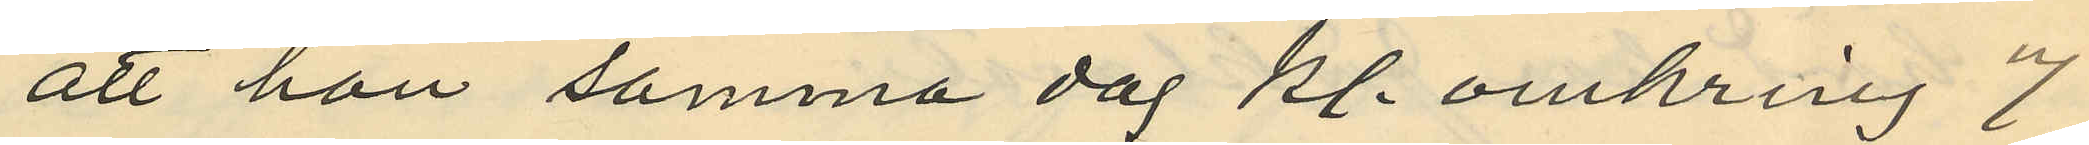att hon samma dag kl. omkring 7
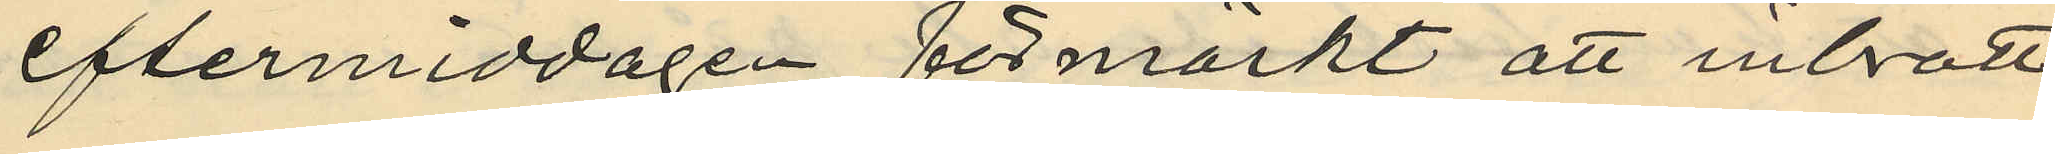eftermiddagen förmärkt att inbrott
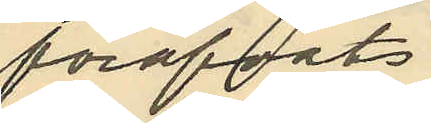föröfvats
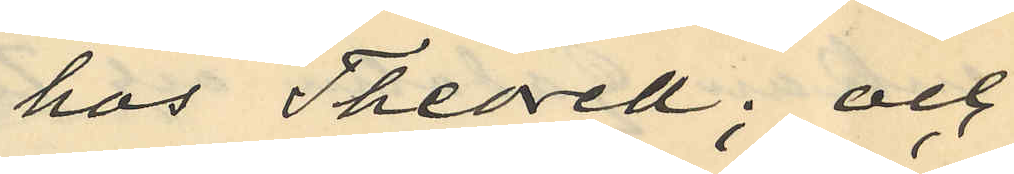hos Theorell; och
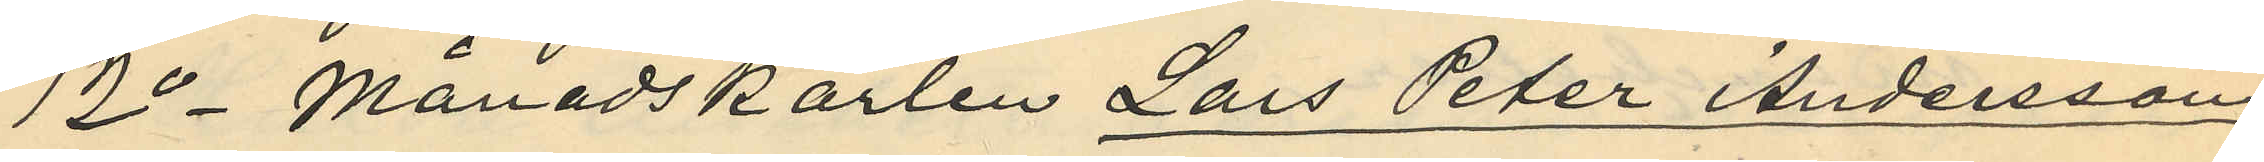12o Månadskarlen Lars Peter Andersson
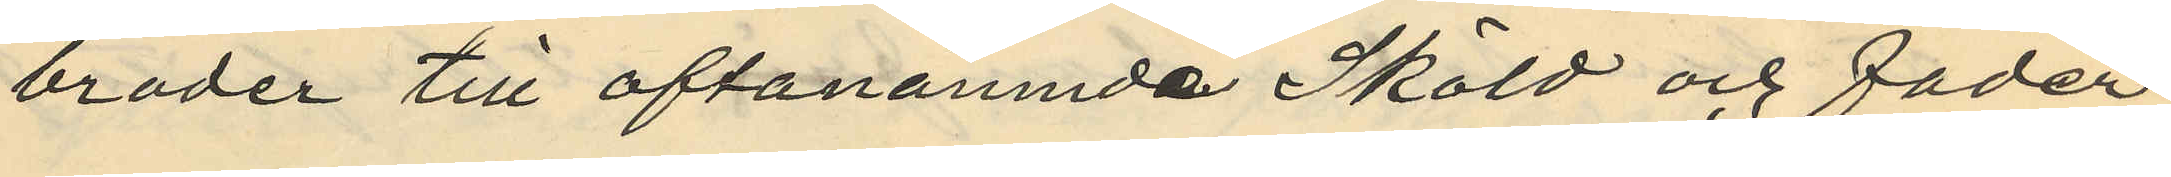broder till oftanämnda Sköld och fader
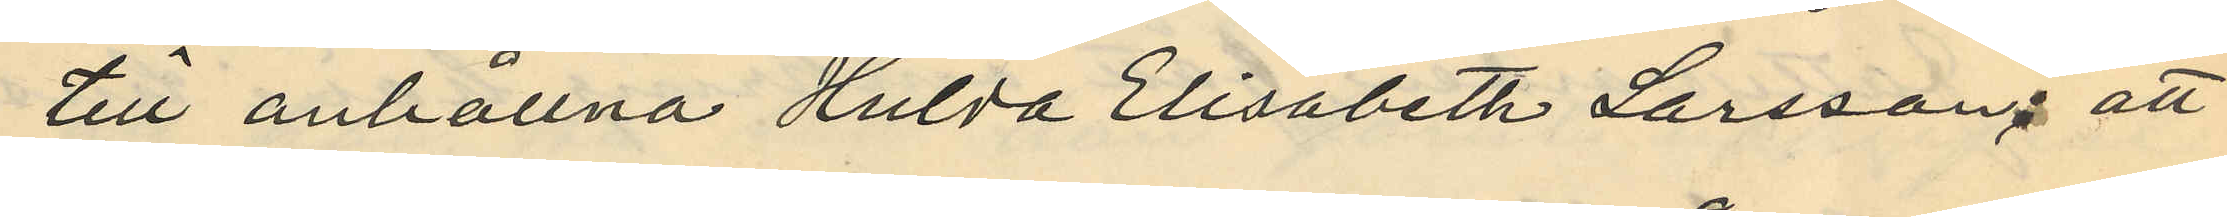till anhållna Hulda Elisabeth Larsson; att
